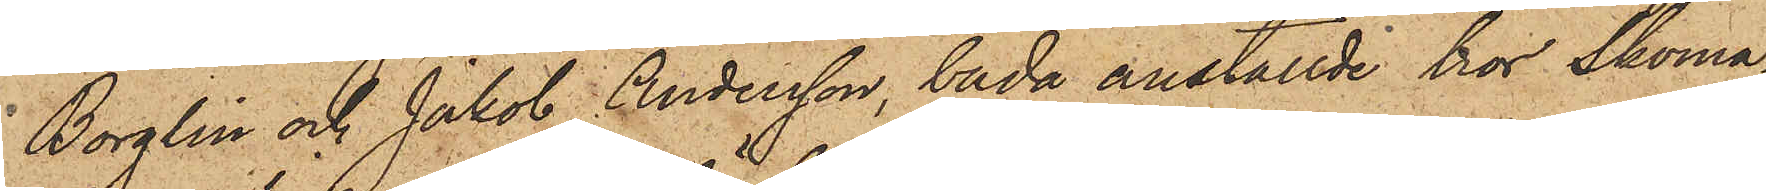Borglin och Jakob Andersson, båda anställde hos Skoma¬
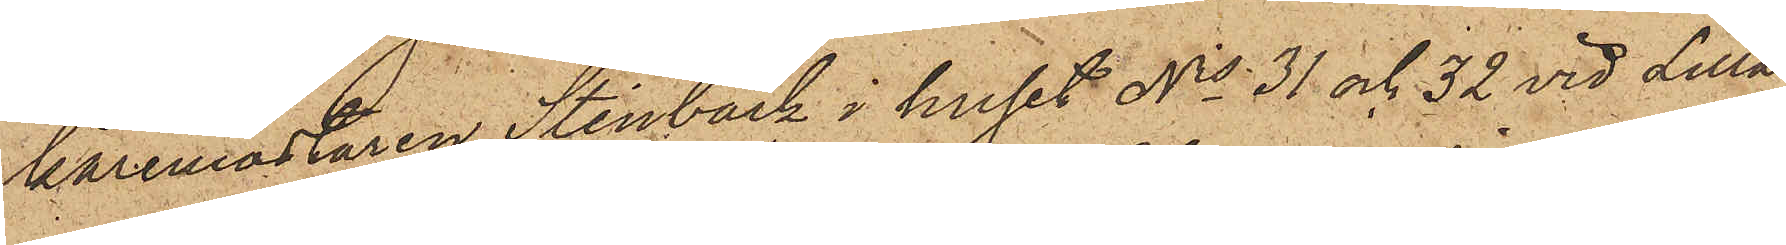karemästaren Stenbäck i huset No 31 och 32 vid Lilla
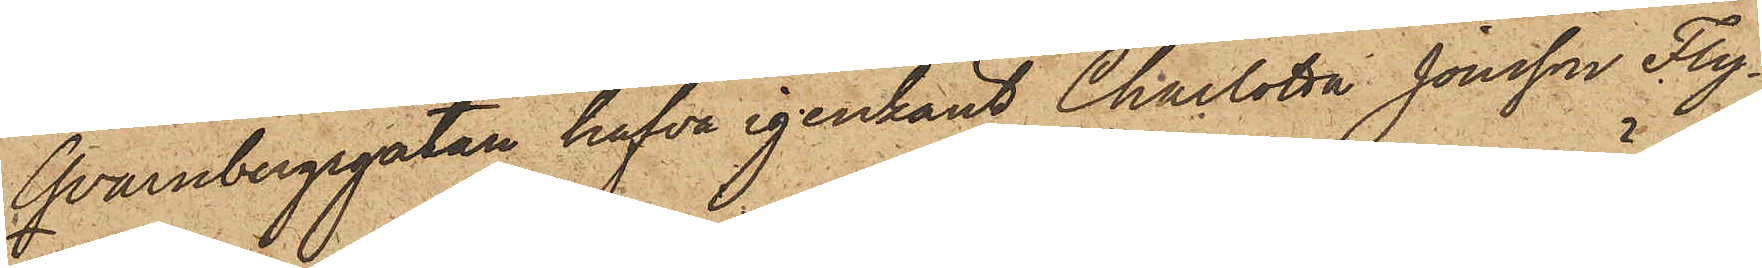Qvarnbergsgatan hafva igenkänt Charlotta Jonsson Fly¬
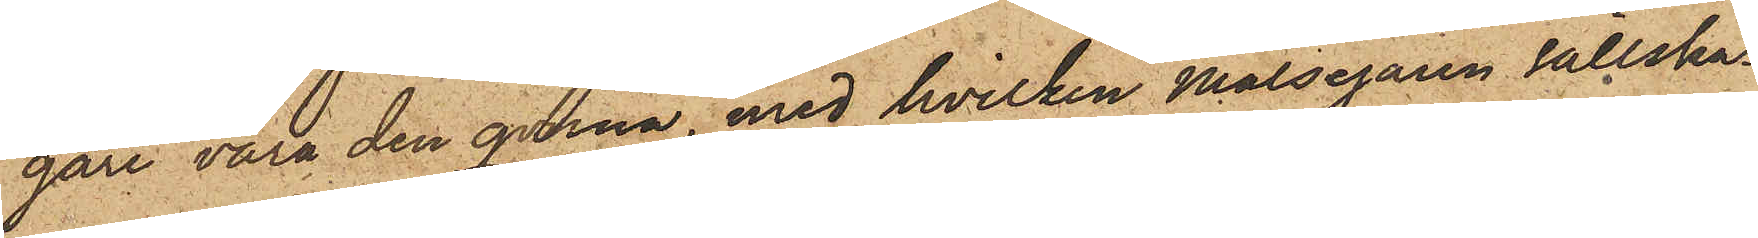gare vara den qvinna, med hvilken Målsegaren sällska¬
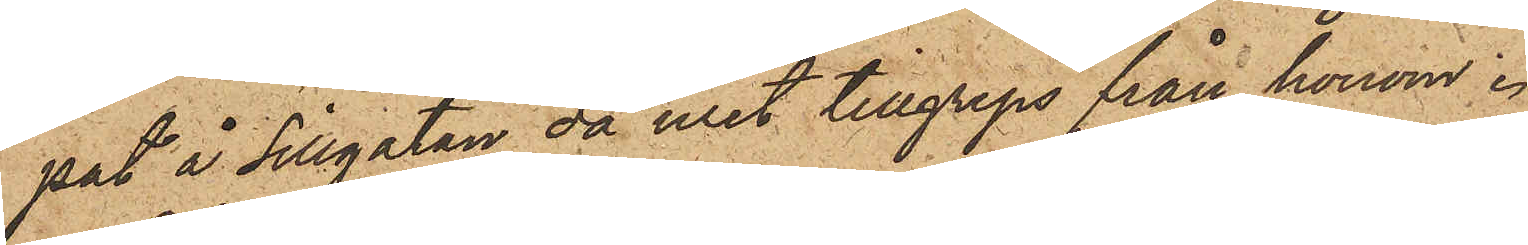pat å Sillgatan, då uret tillgreps från honom.
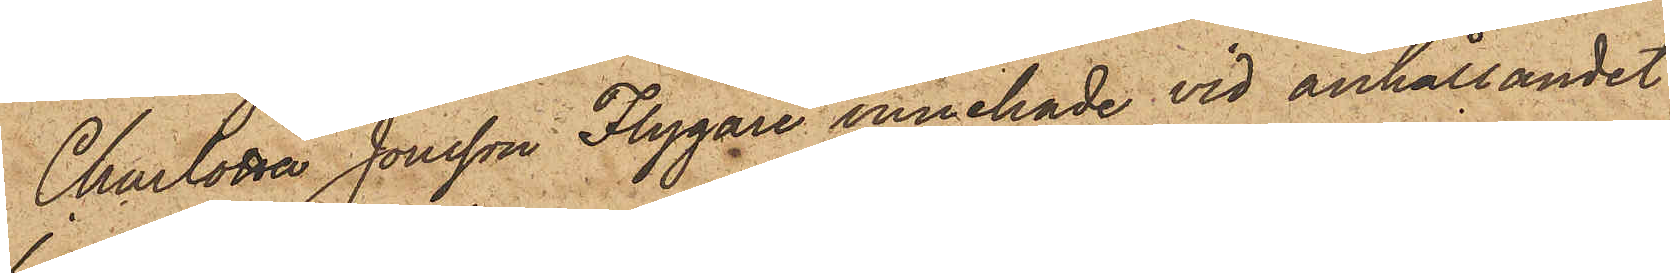Charlotta Jonsson Flygare innehade vid anhållandet
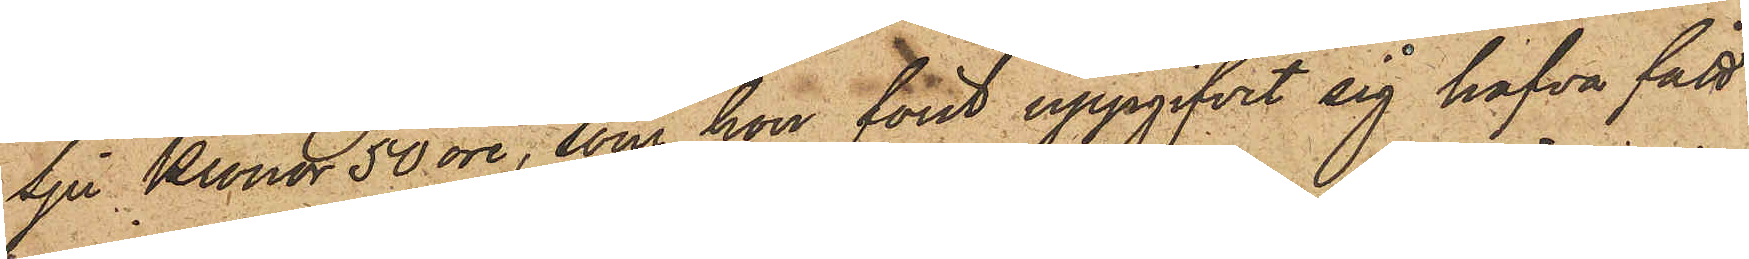Sju Kronor 50 öre, som hon först uppgifvit sig hafva fått
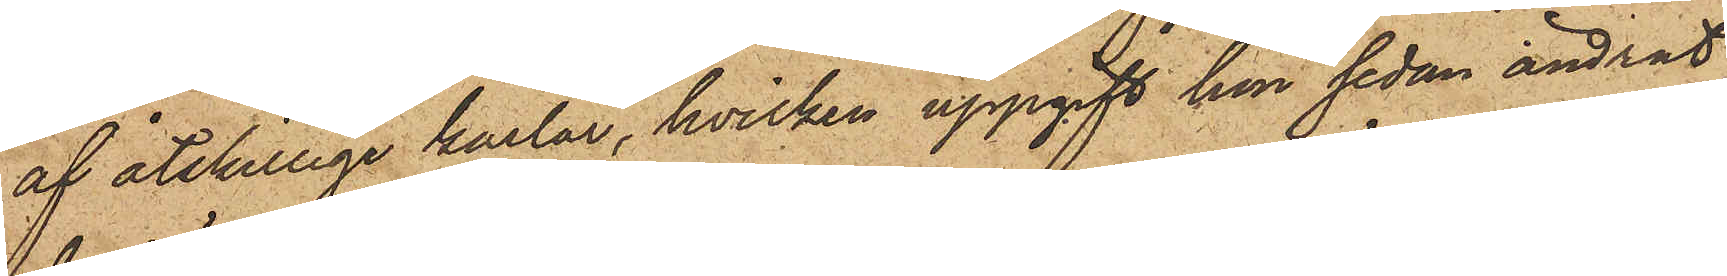af åtskilliga karlar, hvilken uppgift hon sedan ändrat
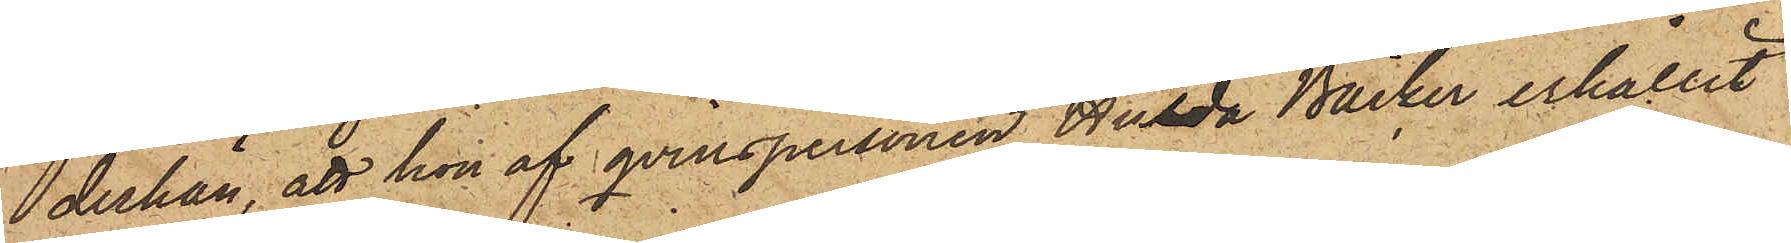derhän, att hon af qvinspersonen Hulda Bäcker erhållit
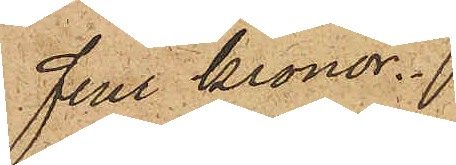Fem Kronor.
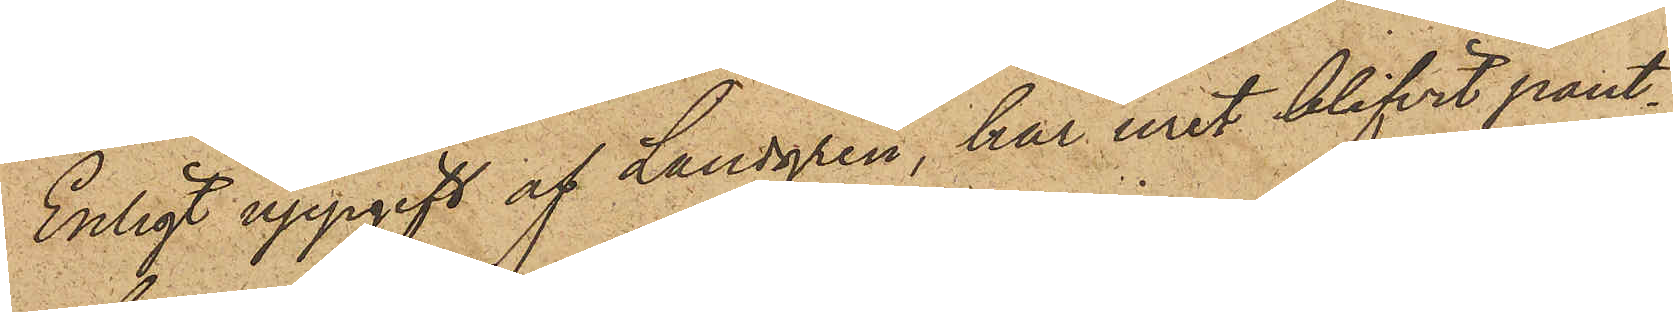Enligt uppgift af Landgren, har uret blifvit pant¬
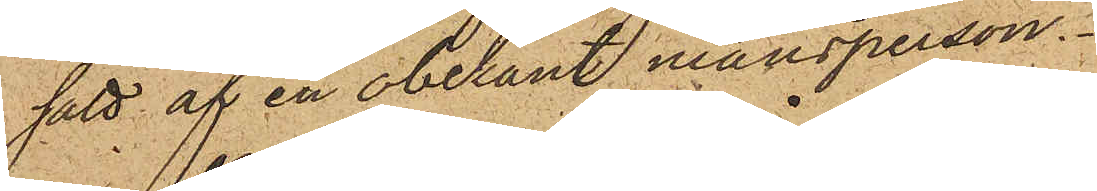satt af en obekant mansperson.
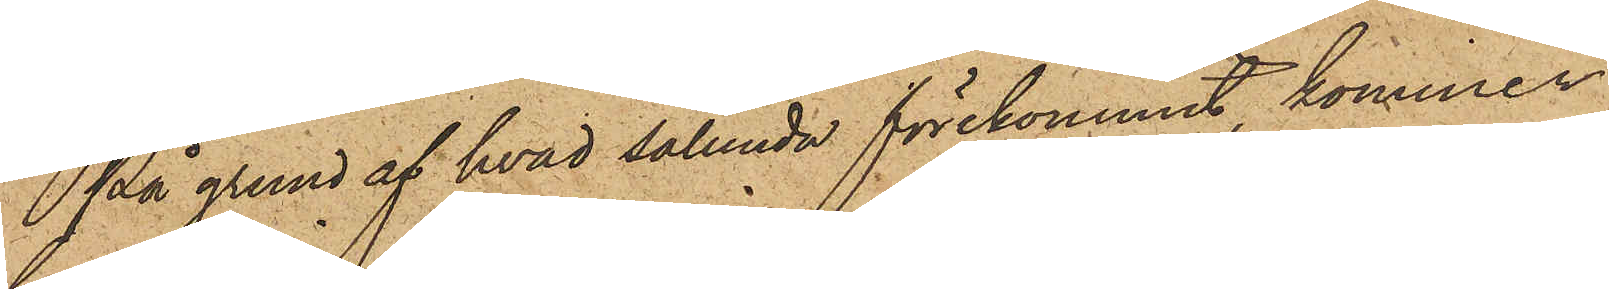På grund af hvad sålunda förekommit, kommer
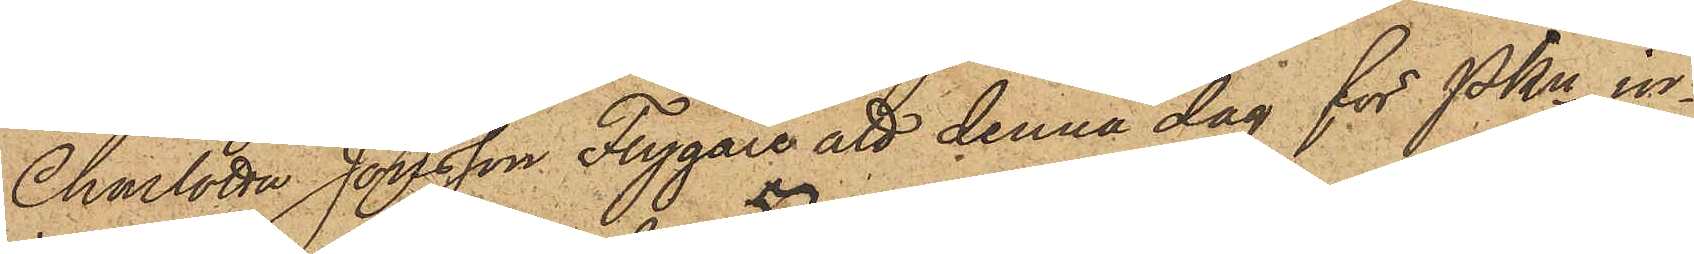Charlotta Jonsson Fygare att denna dag för PKn in¬
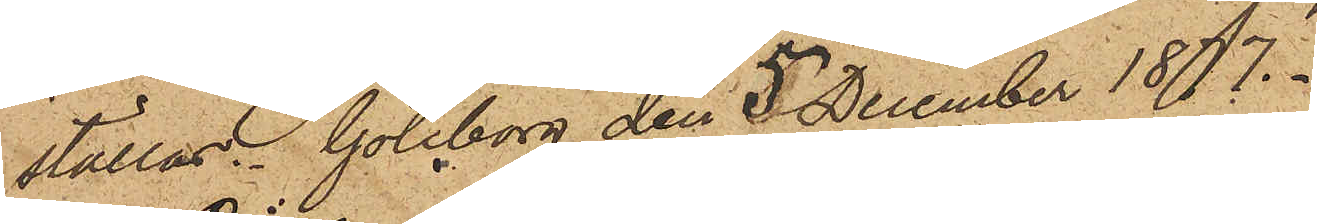ställas. Göteborg den 5 December 1877.
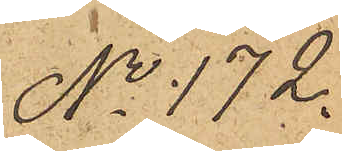No 172.
